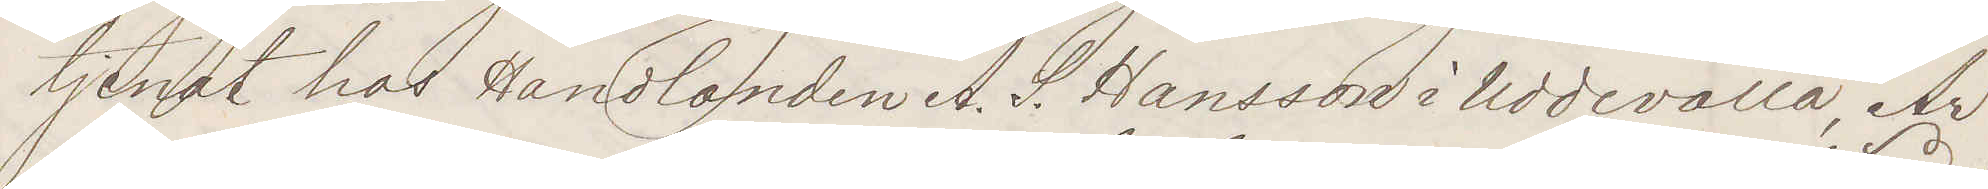tjenat hos Handlanden A. S. Hansson i Uddevalla, Är
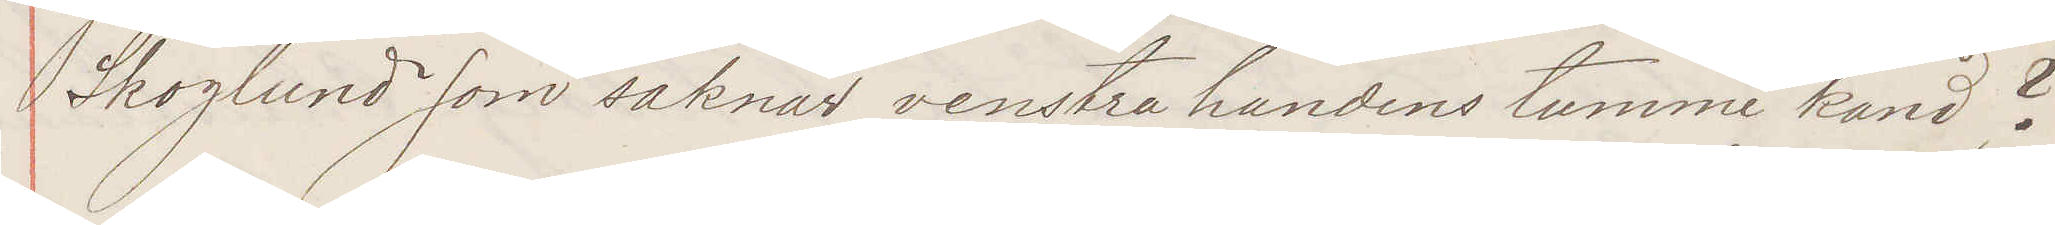Skoglund som saknar venstra handens tumme känd?
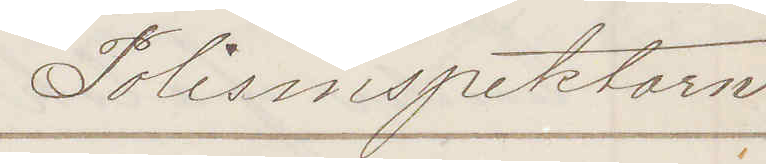Polisinspektorn
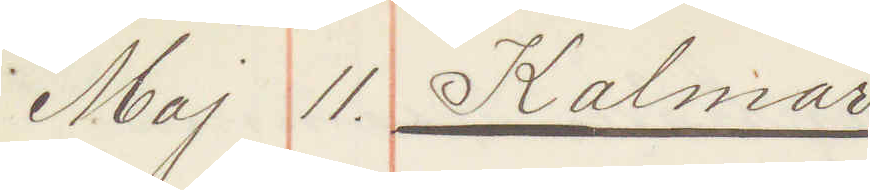Maj 11. Kalmar
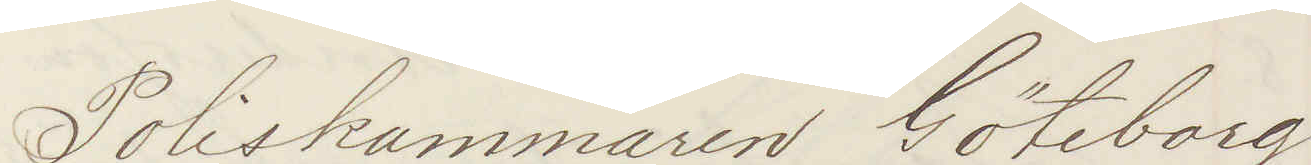Poliskammaren Göteborg
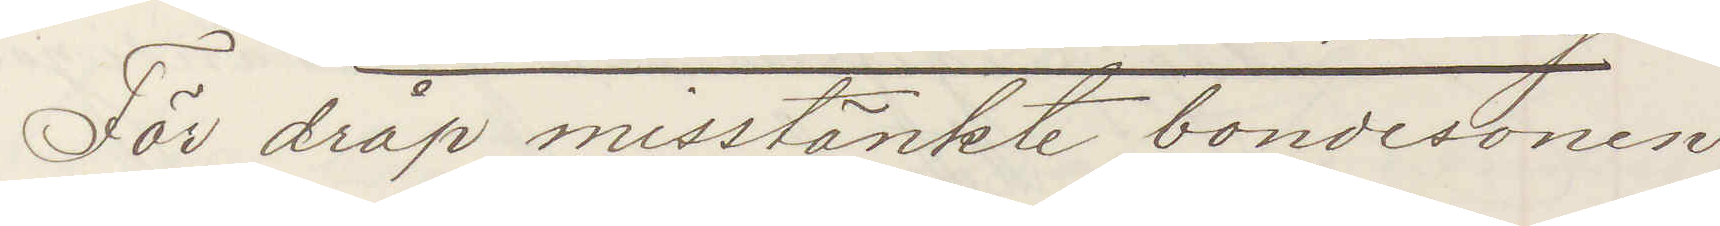För dråp misstänkte bondesonen
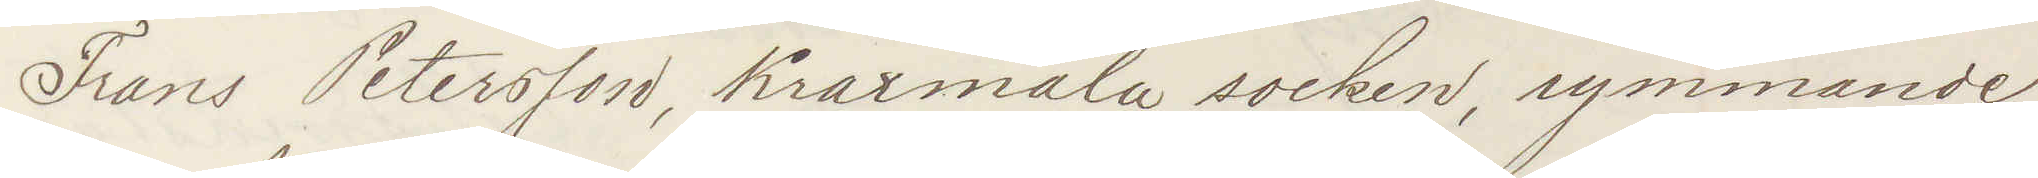Frans Petersson, Kraxmåla socken, rymmande
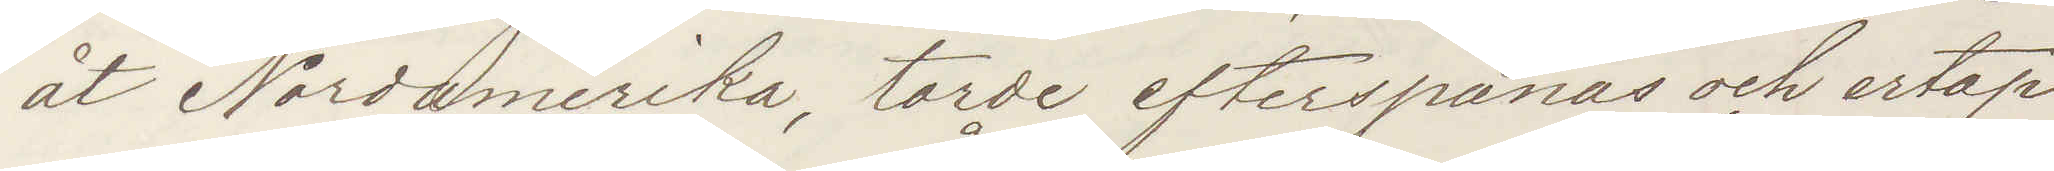åt Nordamerika, torde efterspanas och ertap¬
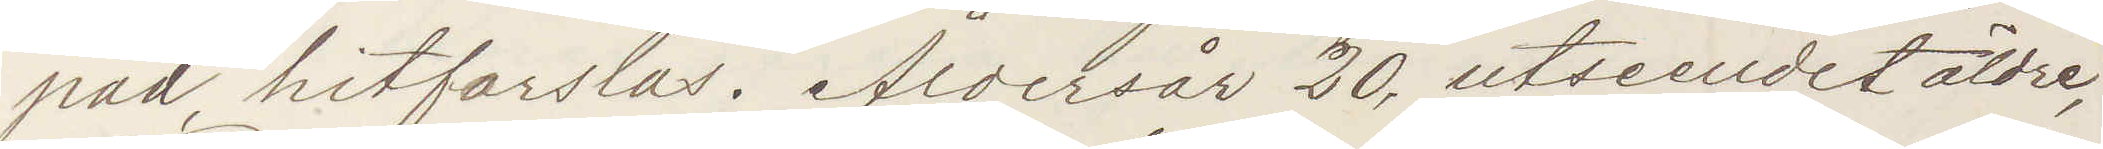pad hitforslas. Åldersår 20, utseendet äldre,
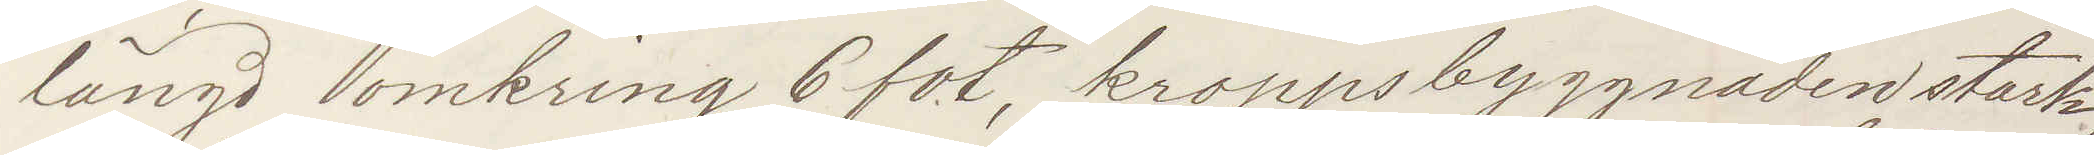längd omkring 6 fot, kroppsbyggnaden stark
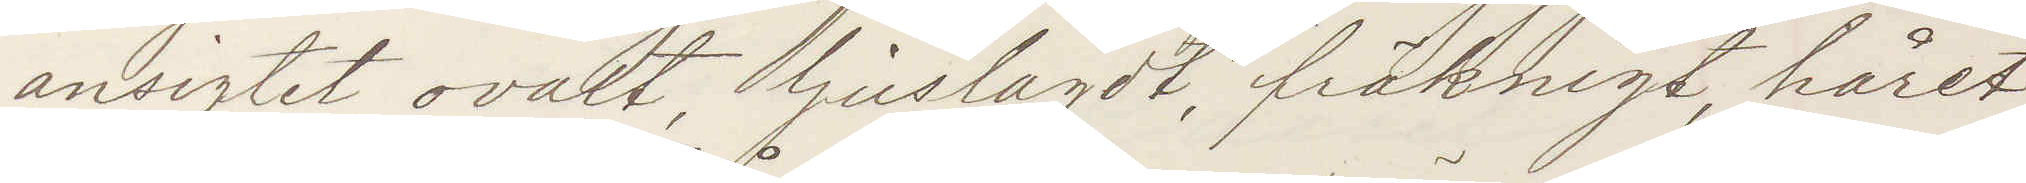ansigtet ovalt, ljuslagdt, fräknigt, håret
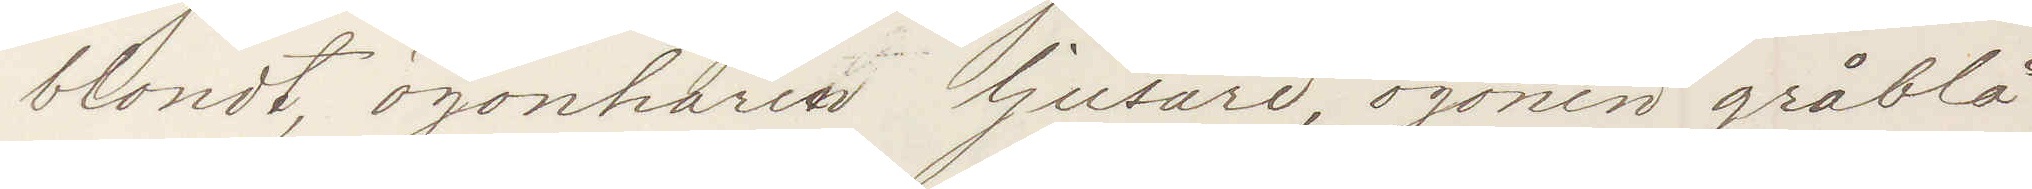blondt, ögonhåren ljusare, ögonen gråblå
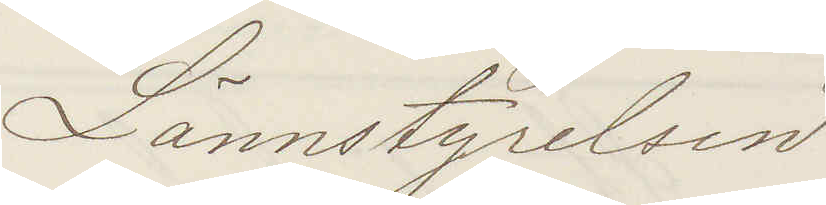Lännstyrelsen
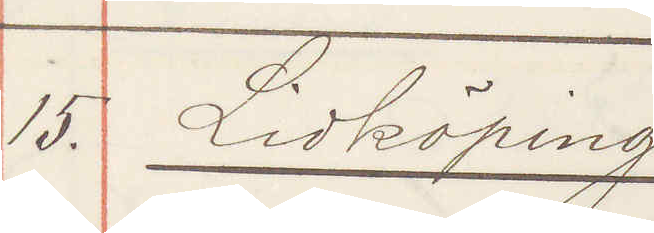15. Lidköping
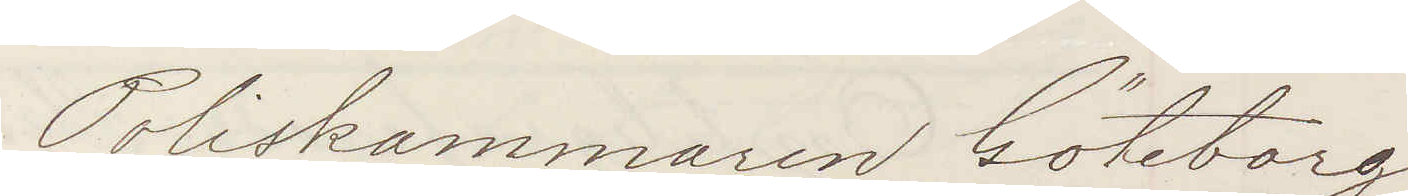Poliskammaren Göteborg
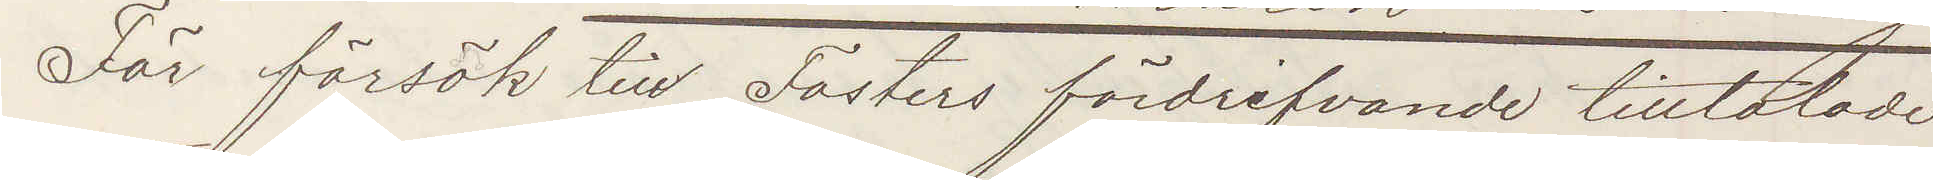För försök till Fosters fördrifvande tilltalade
